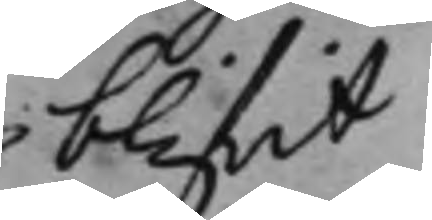blif.it
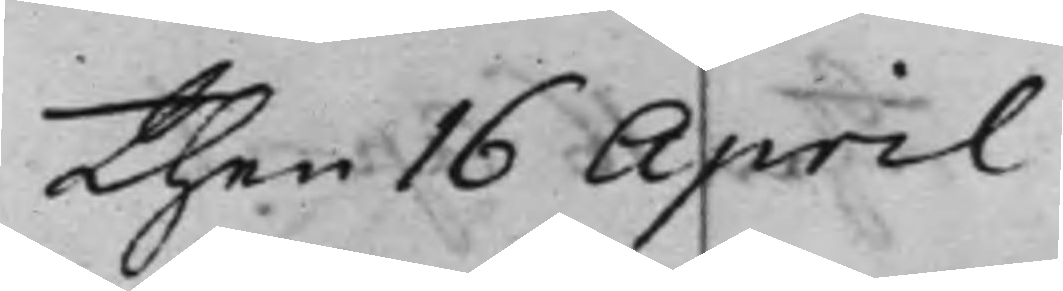Then 16 April
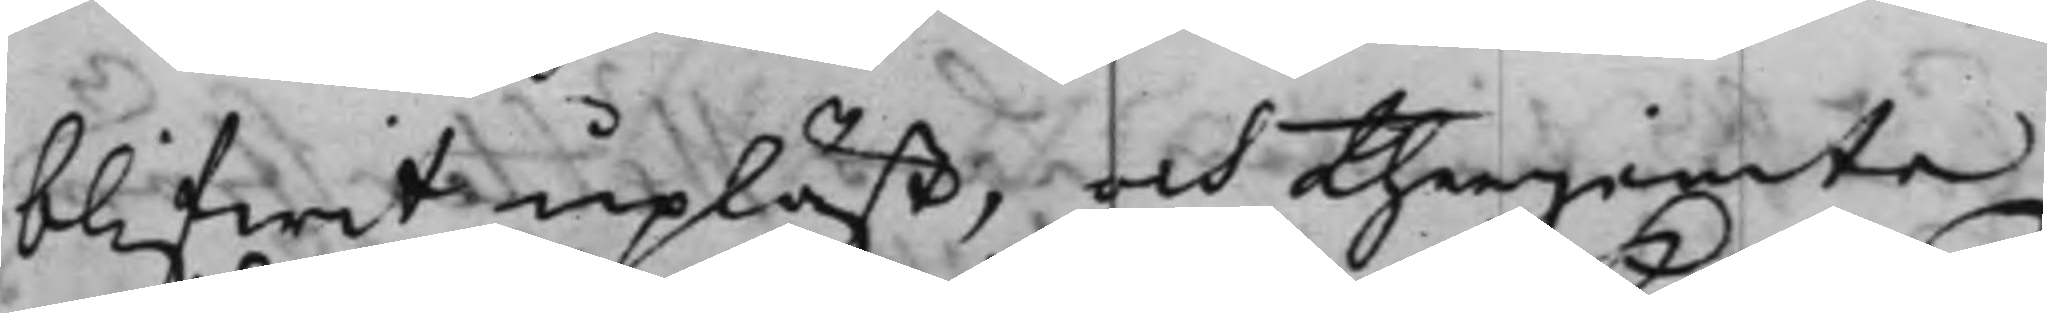blifwit upläst, och therjemte
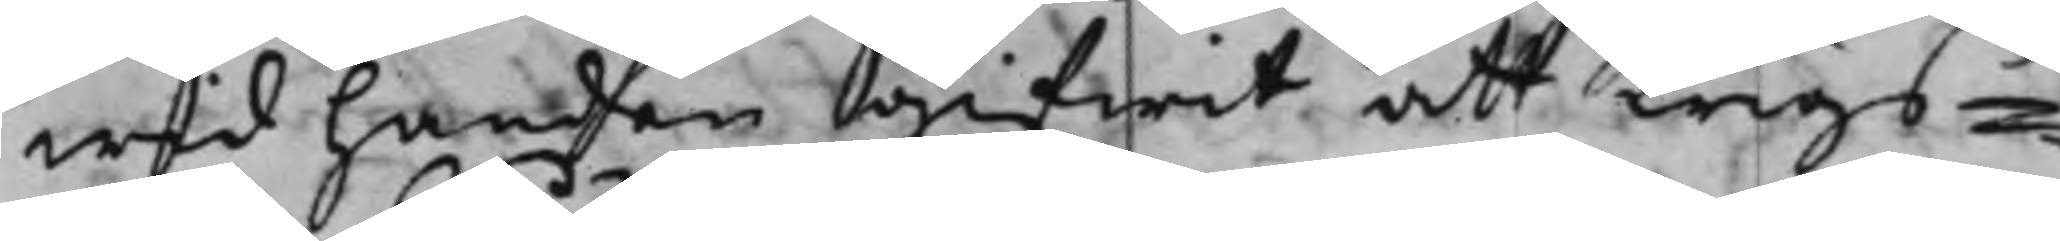wid handen gifwit att Krigs¬
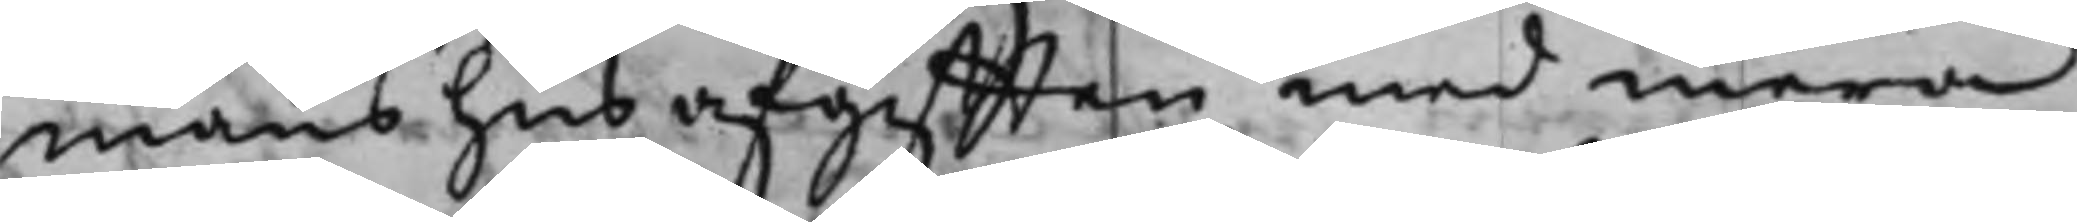manshusafgifften med mera
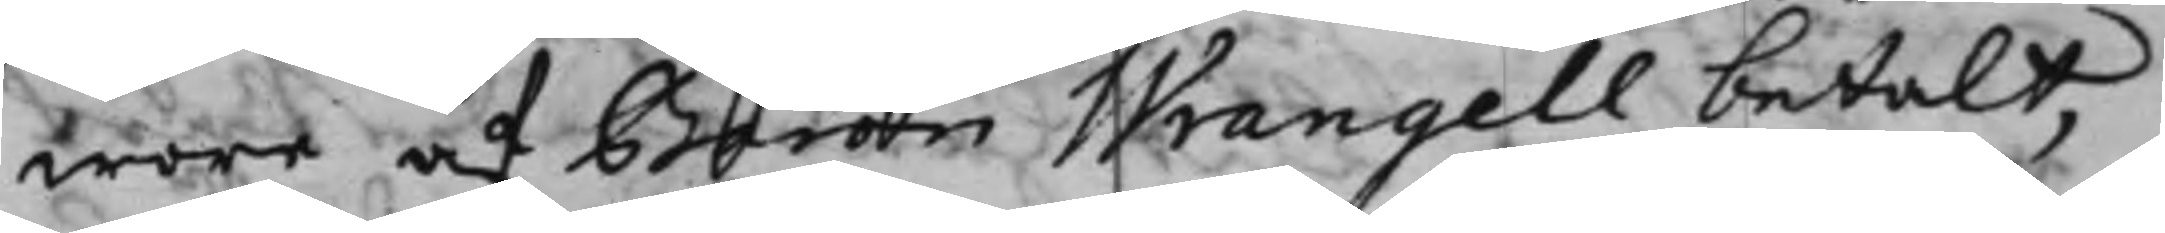wore af Baron Wrangell betalt,
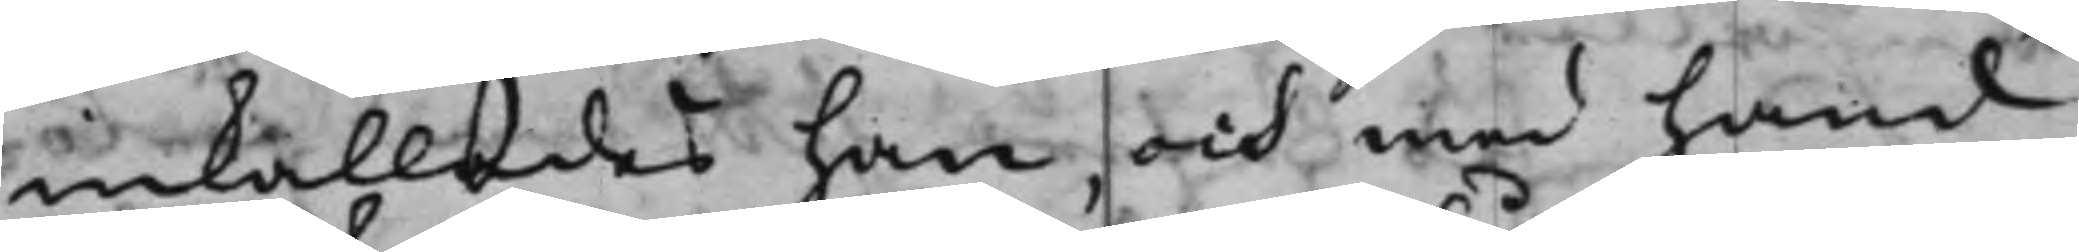inkallades han, och med hand
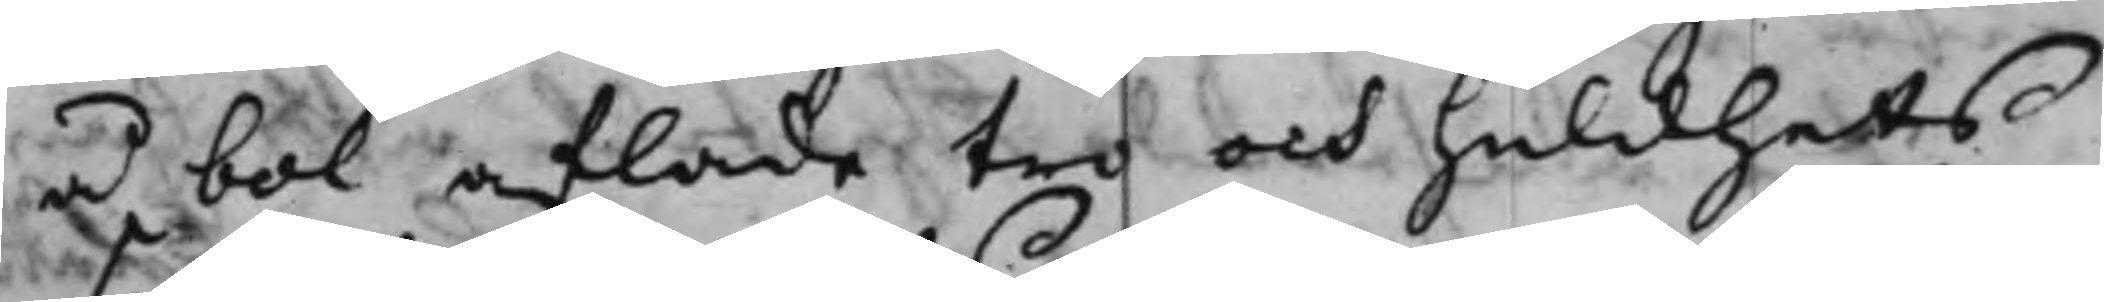å bok aflade tro och huldhets
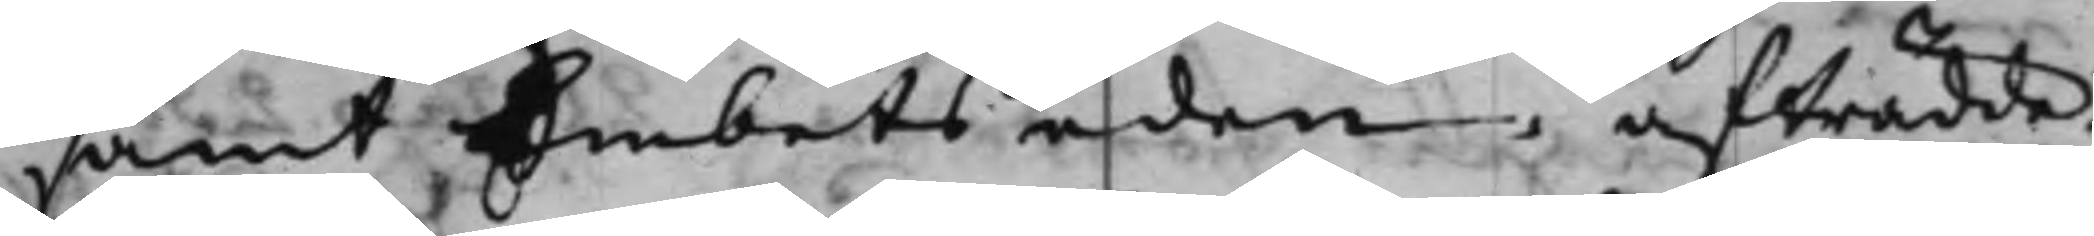samt Embetseden, afträdde.
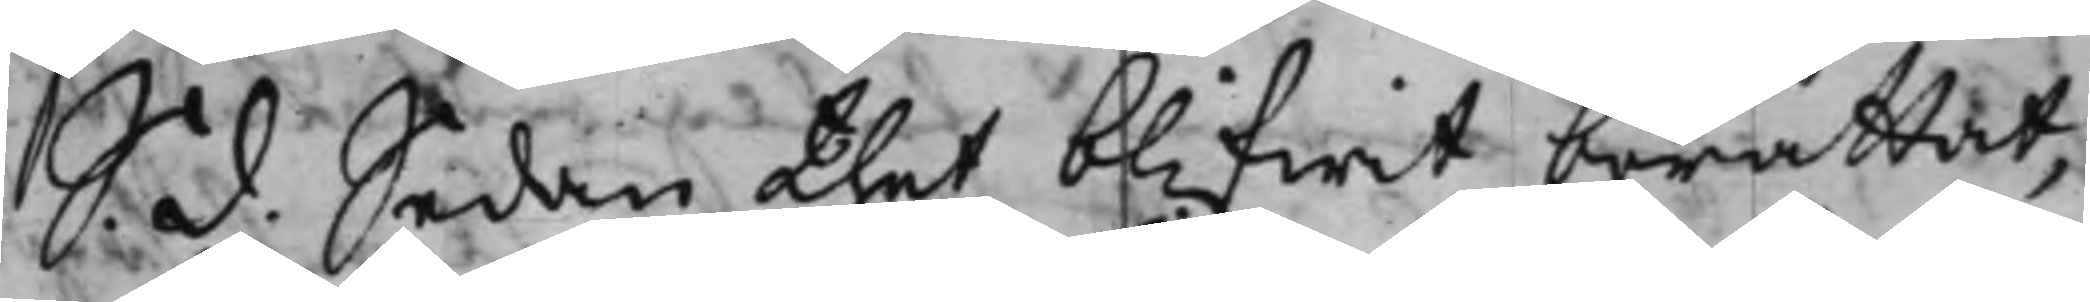S. d. Sedan thet blifwit berättat,
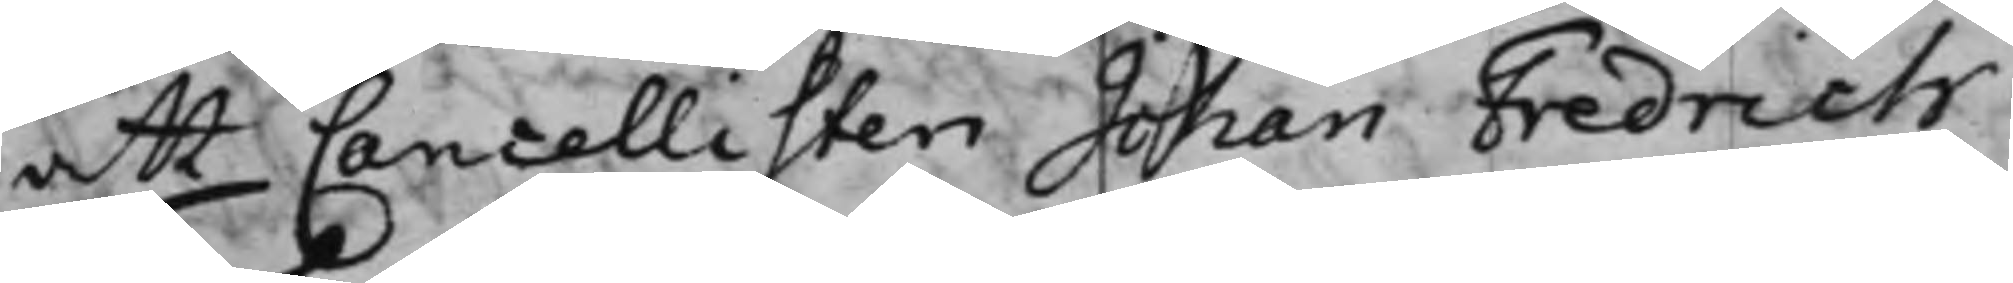att Cancellisten Johan Fredrich
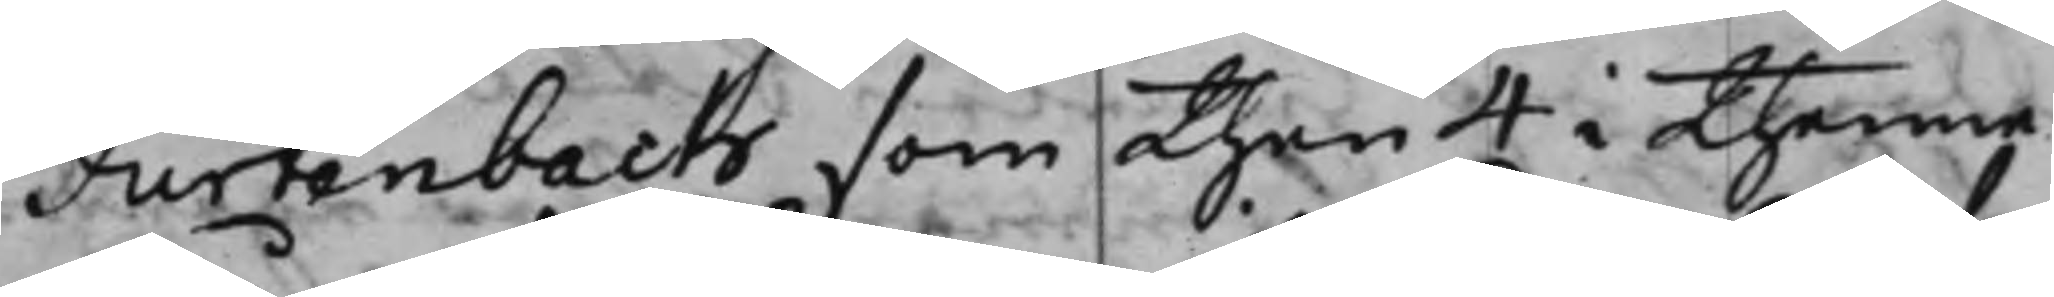Furtenbach som then 4 i thenne
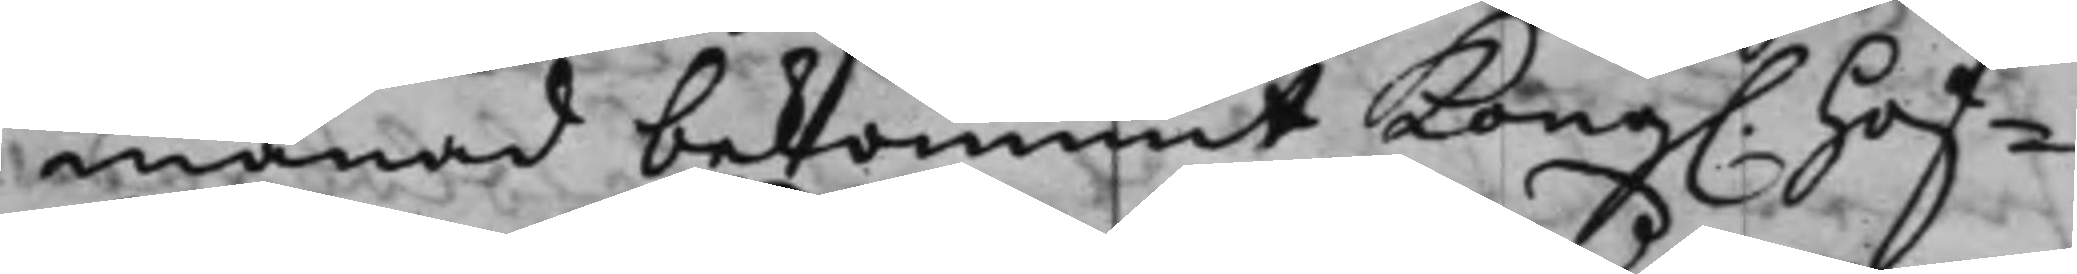månad bekommit Kong. Hof¬
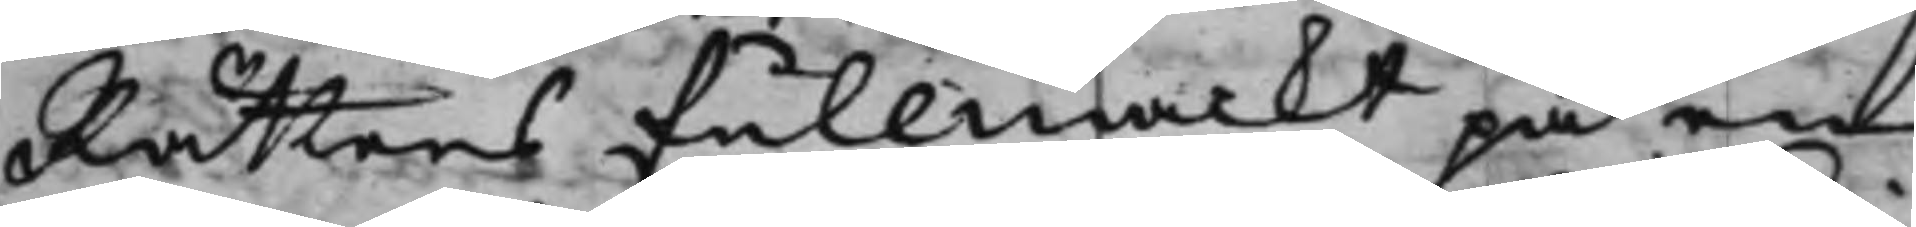Rättens fullmackt på en
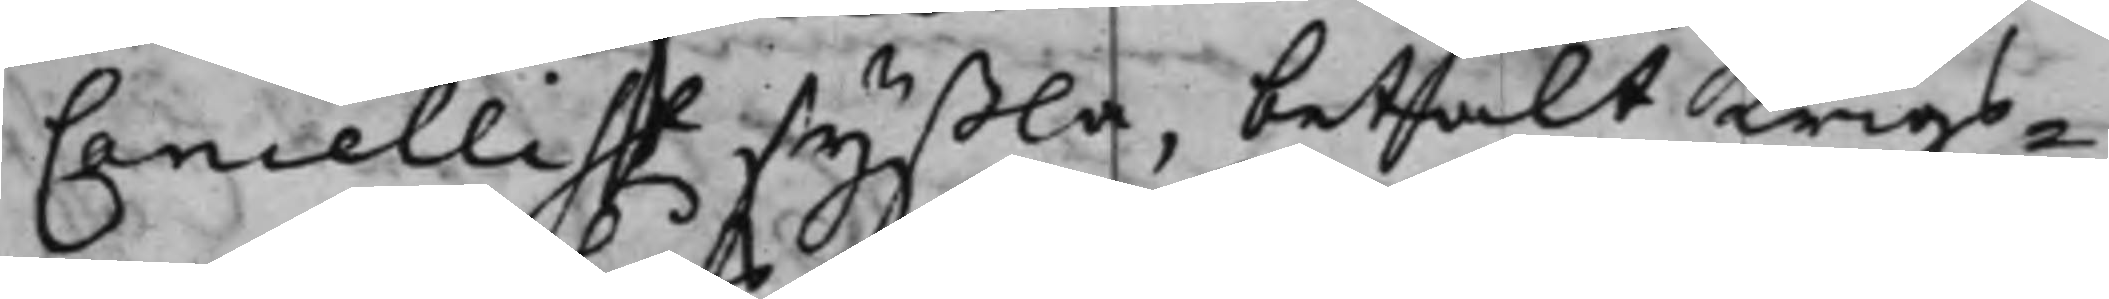Cancellist syßla, betalt Krigs¬
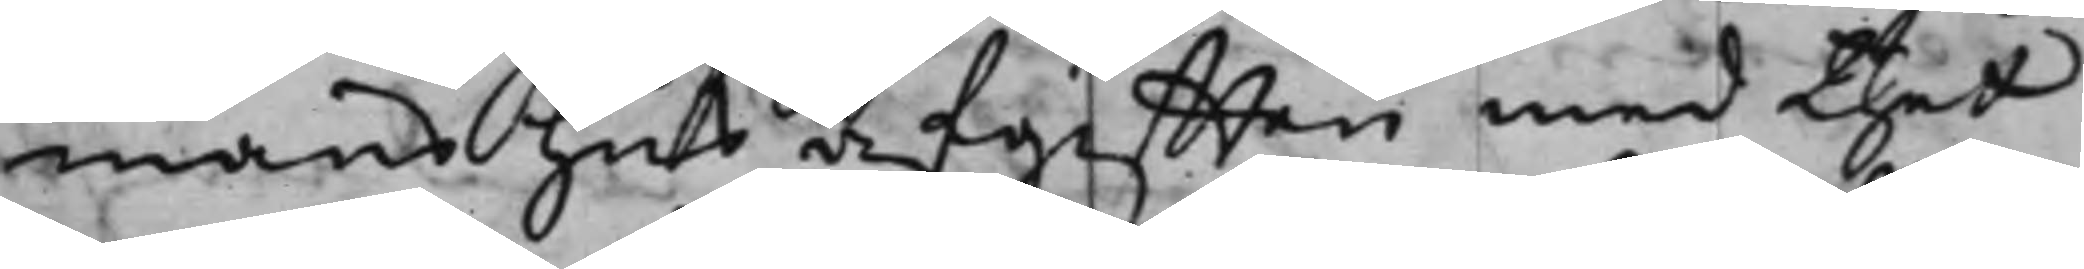manshus afgifften med thet
